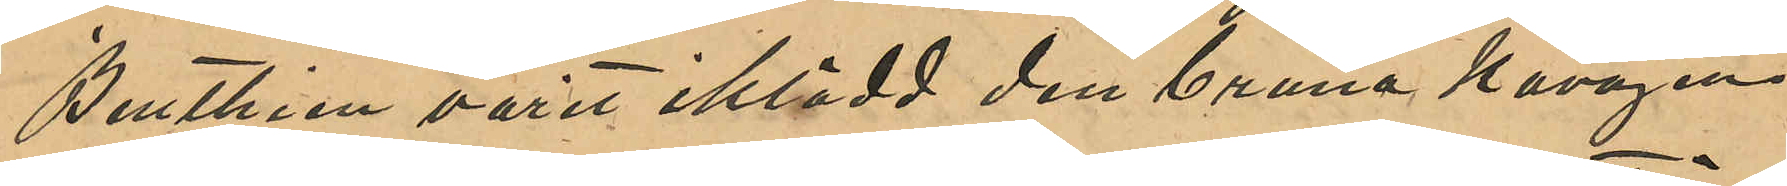Benthien varit iklädd den bruna kavajen 
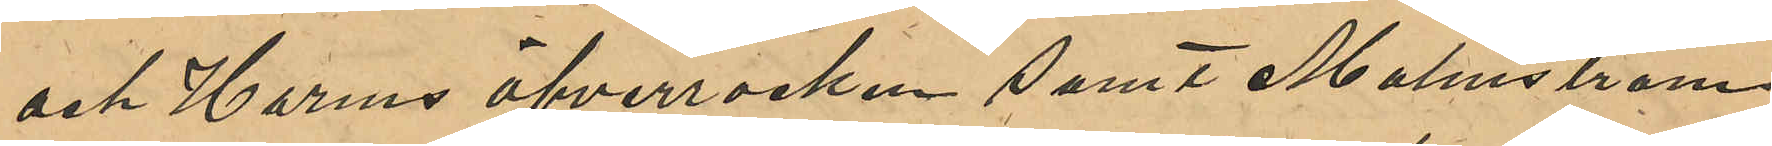och Harms öfverrocken samt Malmström
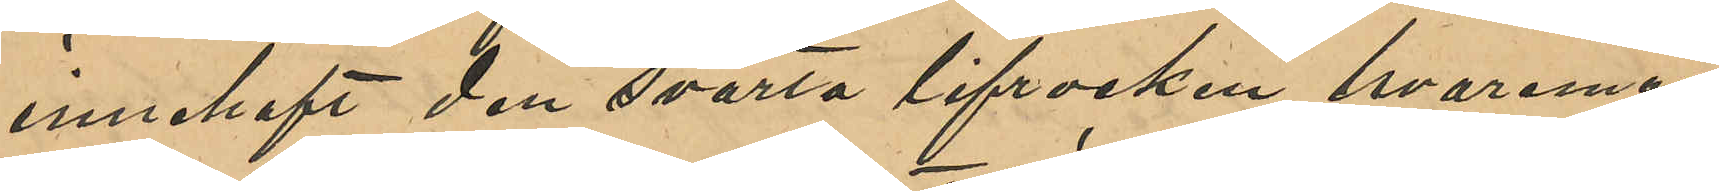innehaft den svarta lifrocken, hvaremot
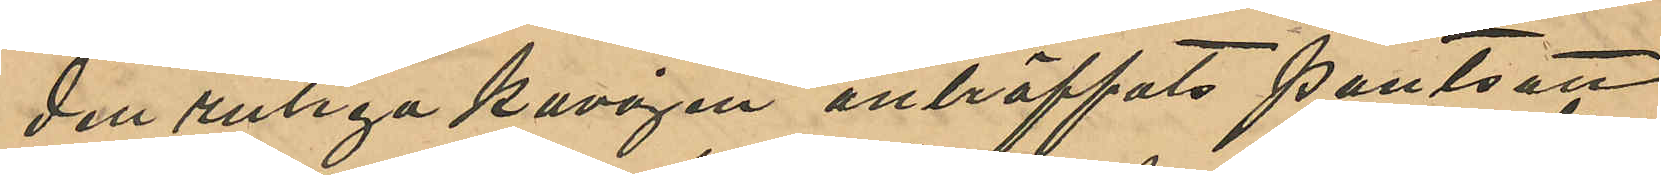den rutiga kajaven anträffats pantsatt
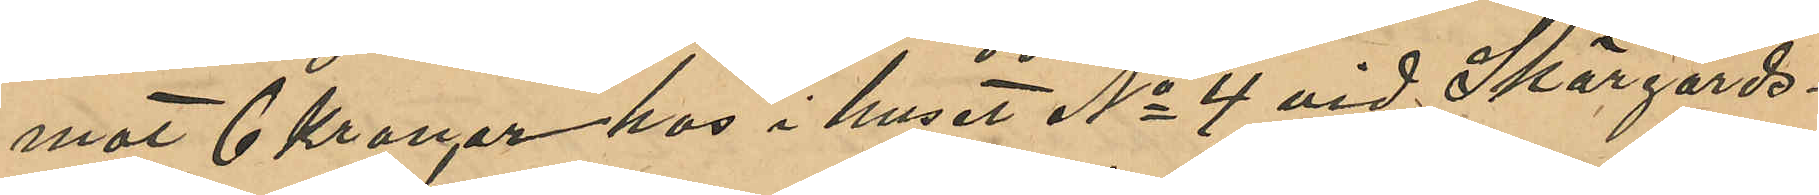mot 6 Kronor hos i huset No 4 vid Skärgårds¬
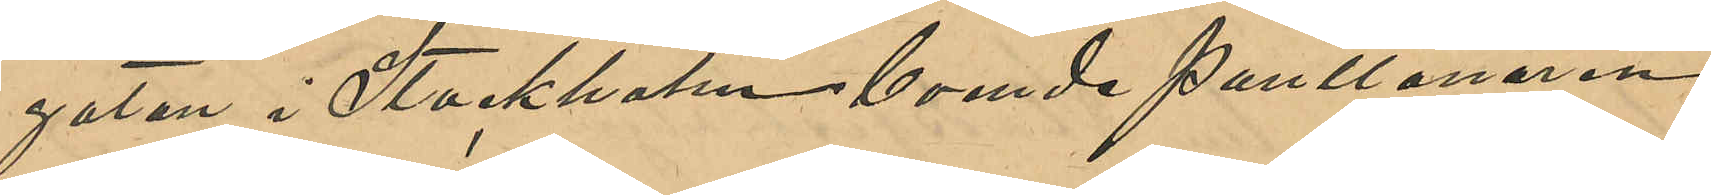gatan i Stockholm boende Pantlånaren
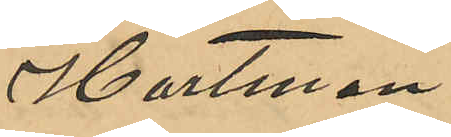Hartman;
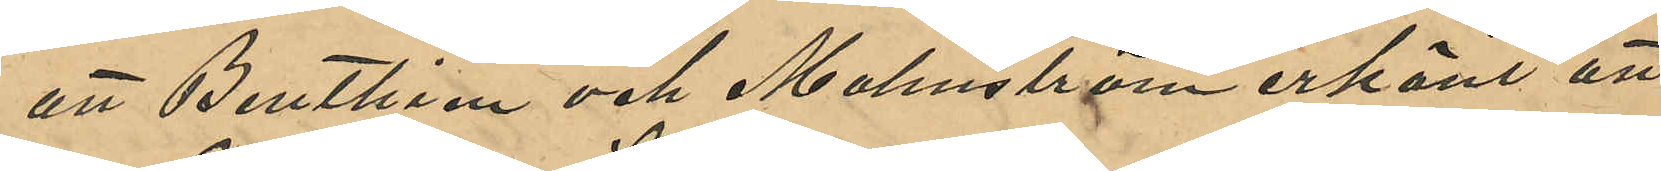att Benthien och Malmström erkänt att
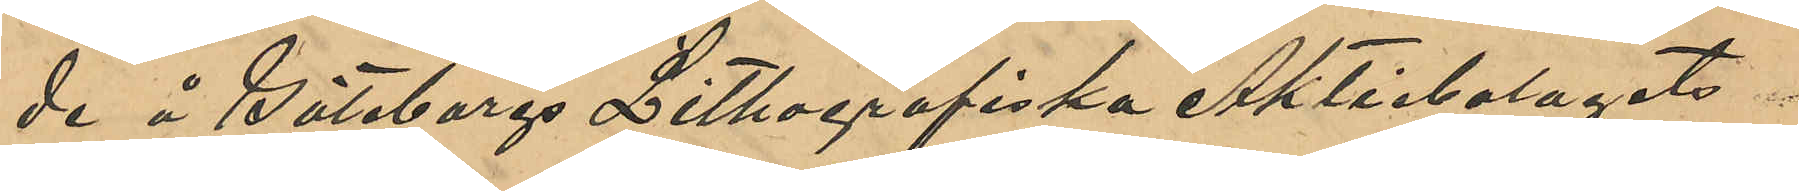de i Göteborgs Lithografiska Aktiebolagets
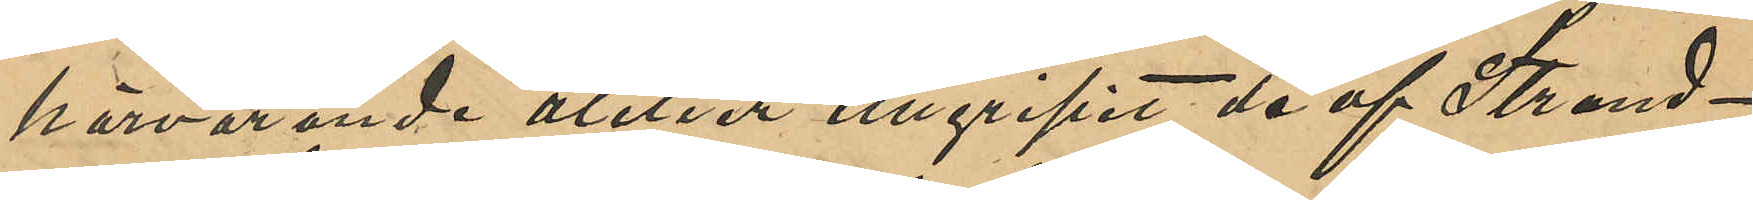härvarande atelier tillgripit de af Strand¬
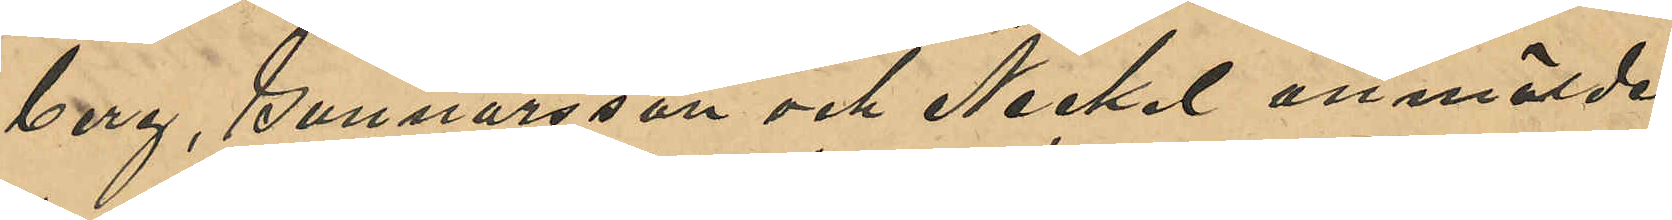berg, Gunnarsson och Nickel anmälde
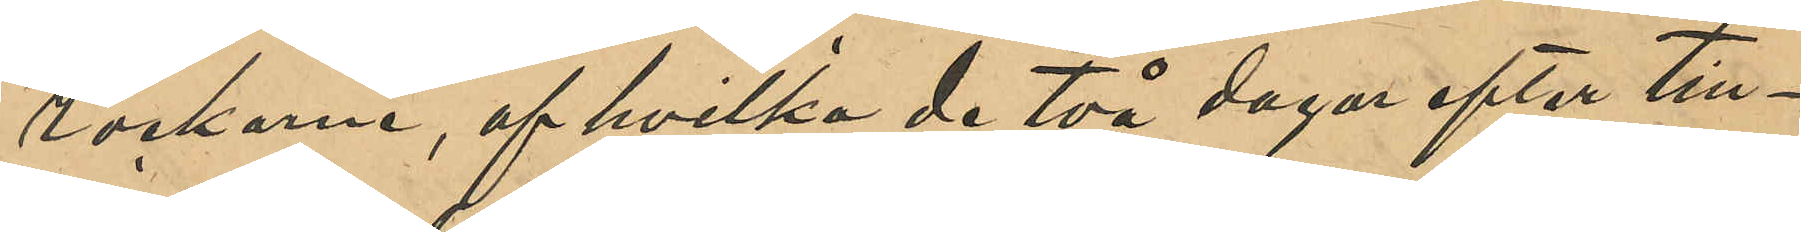rockarne, af hvilka de två dagar efter till¬
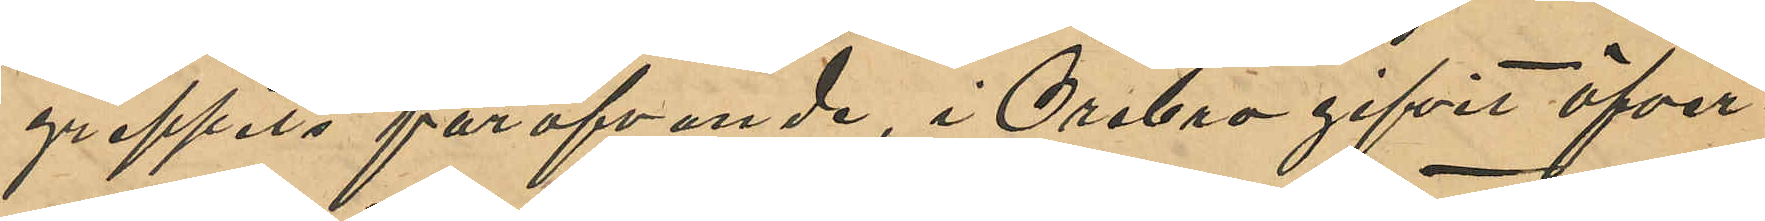greppets föröfvande, i Örebro gifvit öfver¬
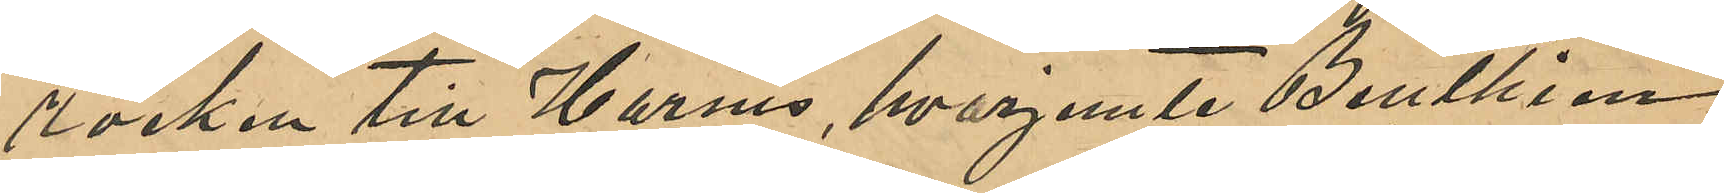rocken till Harms, hvarjemte Benthien
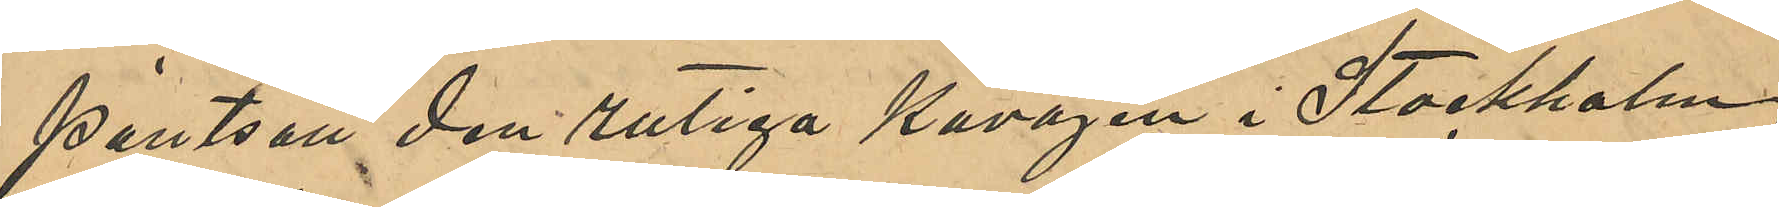pantsatt den rutiga kavajen i Stockholm;
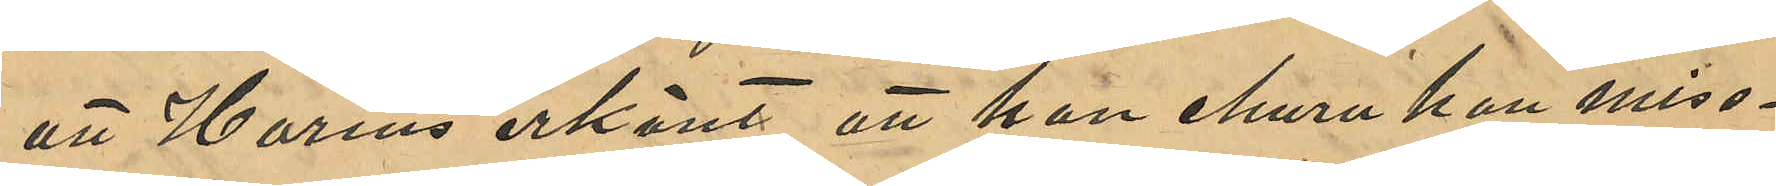att Harms erkänt, att han ehuru han miss¬
